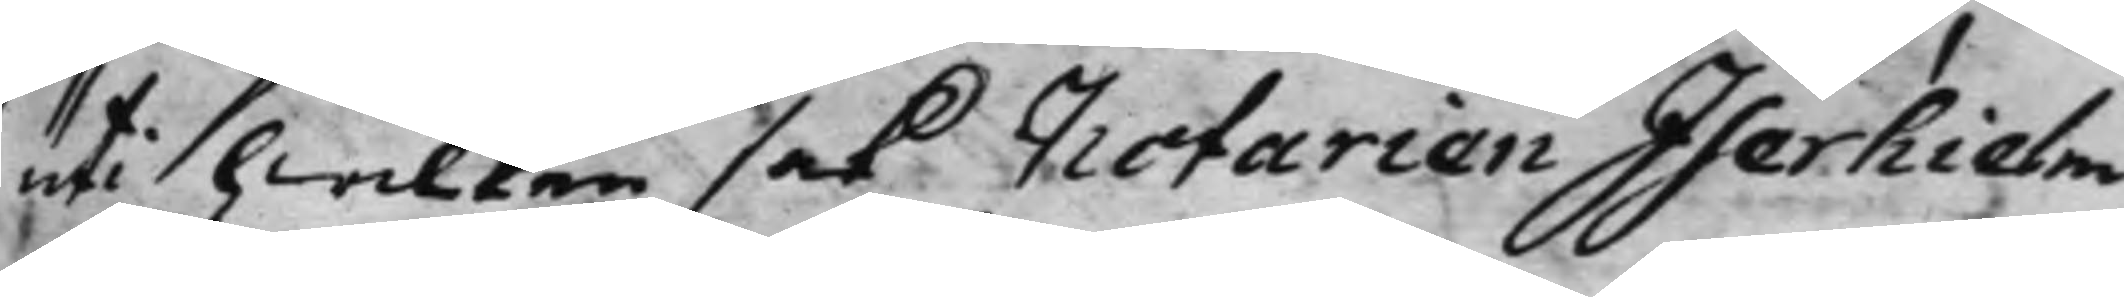uti hwilken sak Notarien Iserhielm,
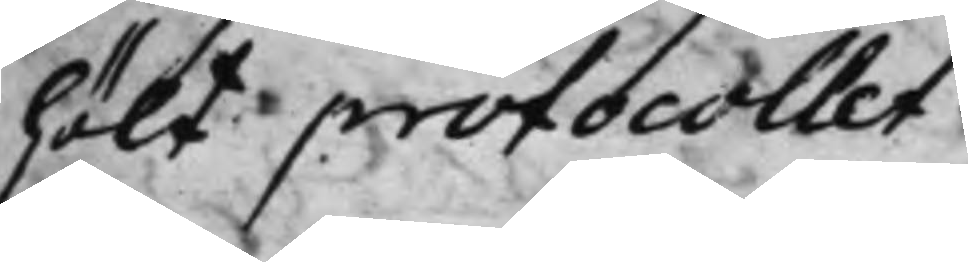hölt protocollet.
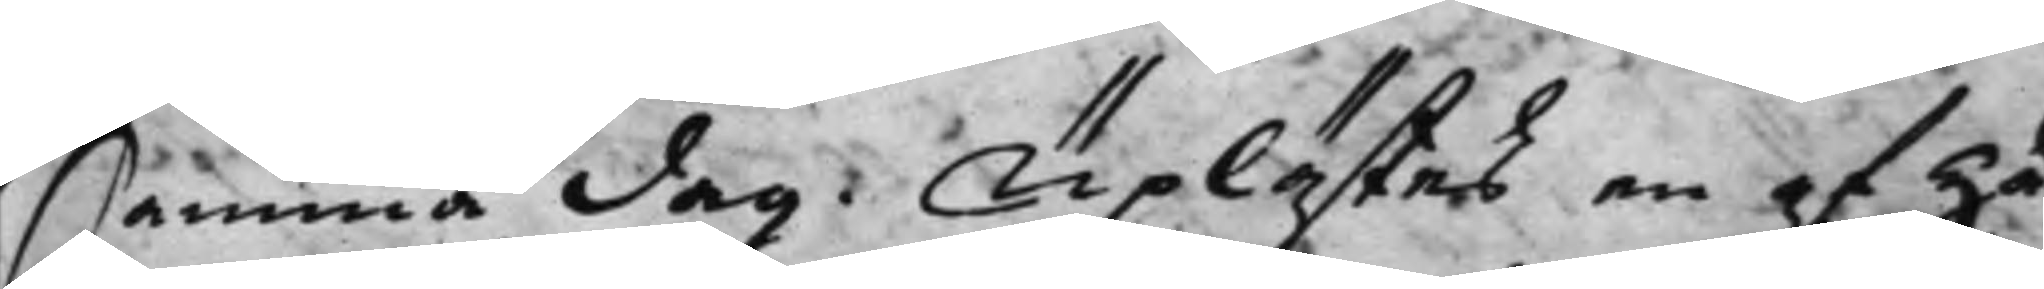Samma dag. Uplästes en af Hä¬ 
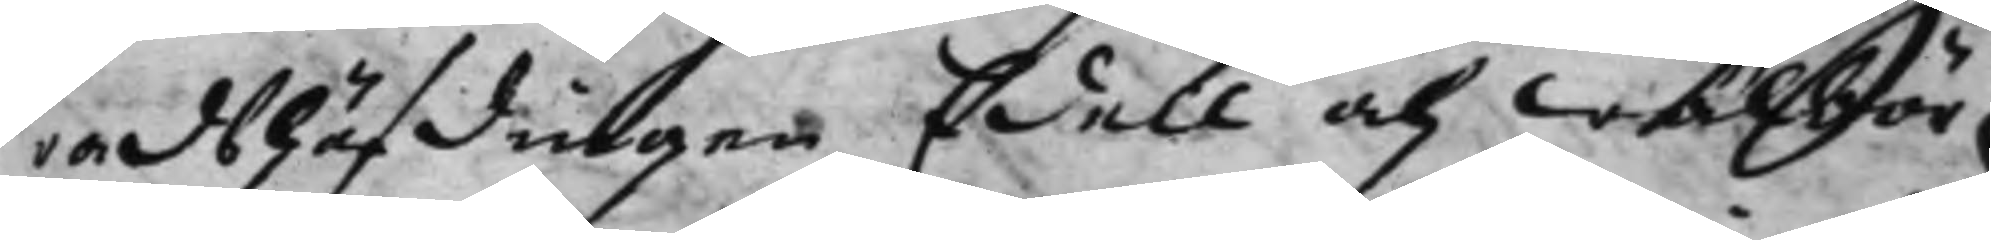radshöfdingen Edell och Wälbör¬
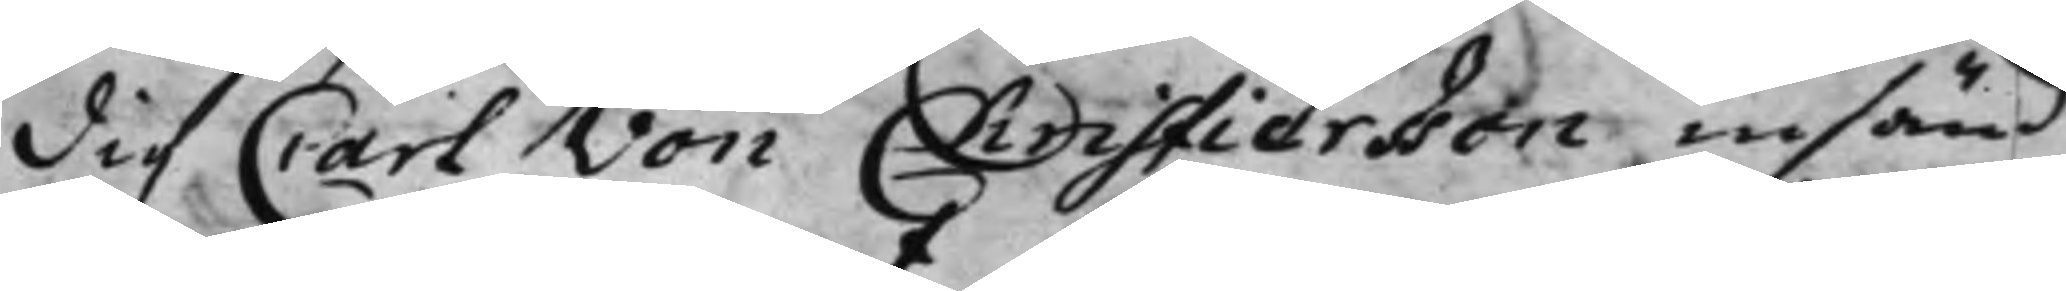dig Carl von Christierßon insänd
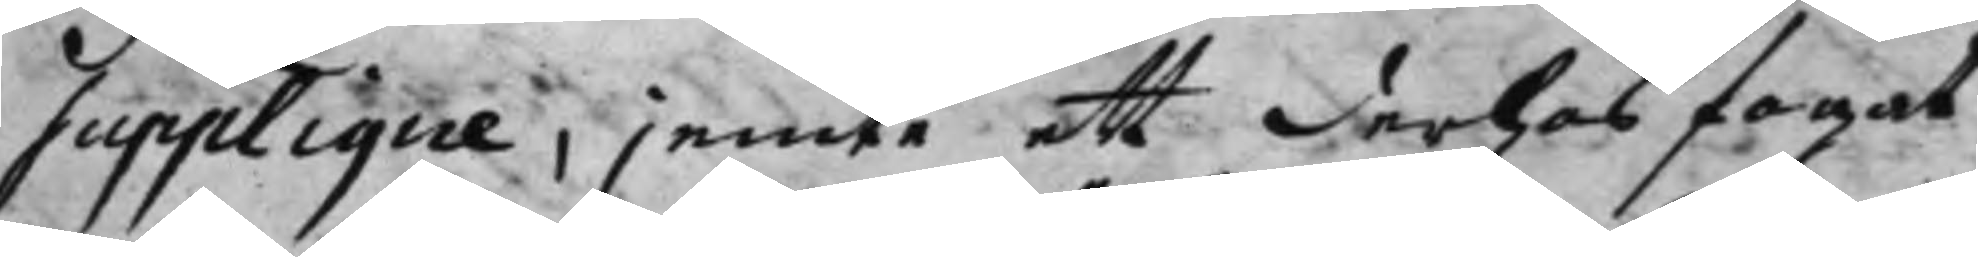Supplique, jemte ett derhos fogat
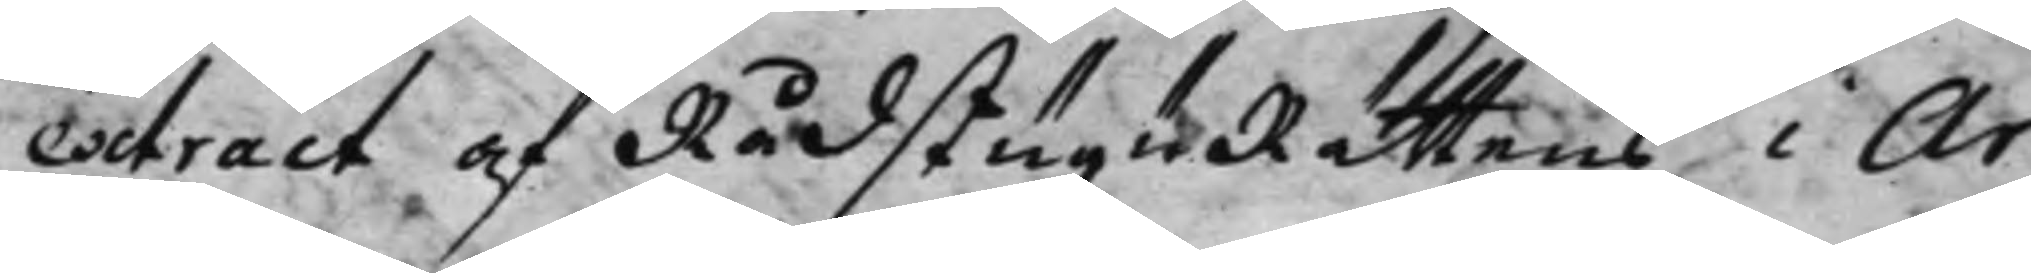extract af RådstuguRättens i Ar¬
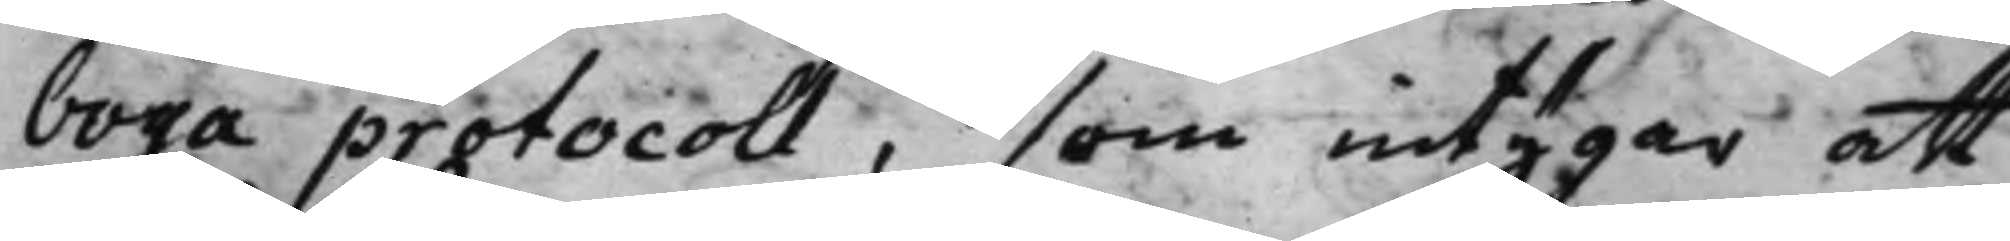boga protocoll, som intygar att
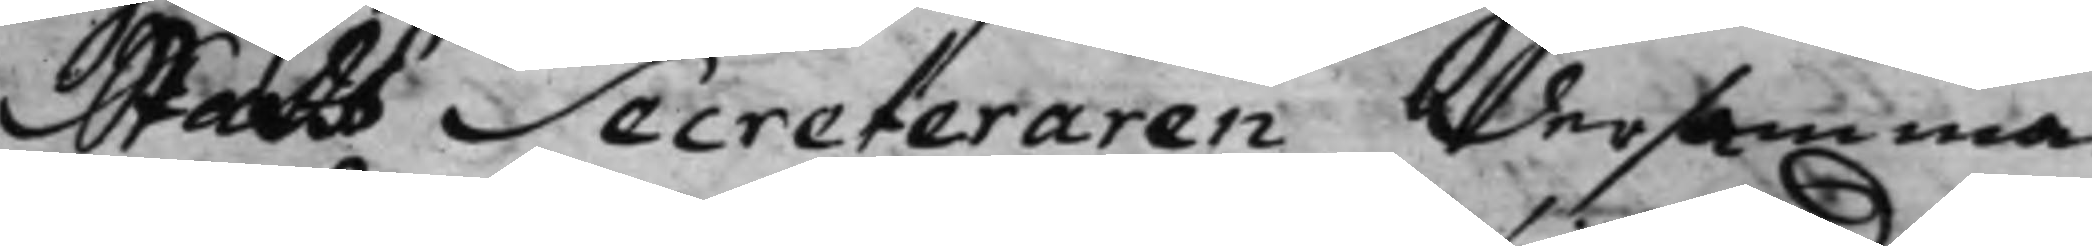Stads Secreteraren dersamma¬
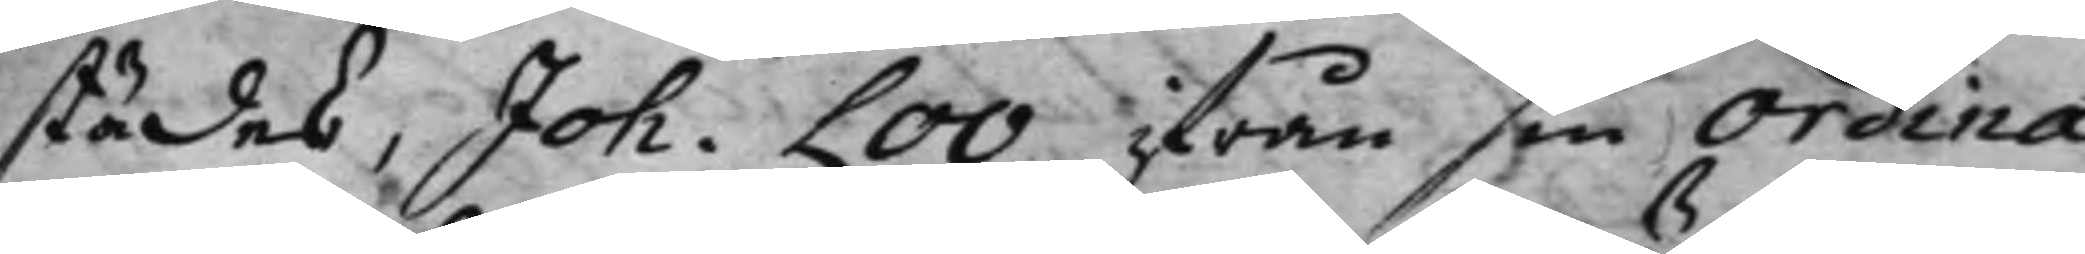städes, Joh. Loo ifrån sin Ordina¬ 
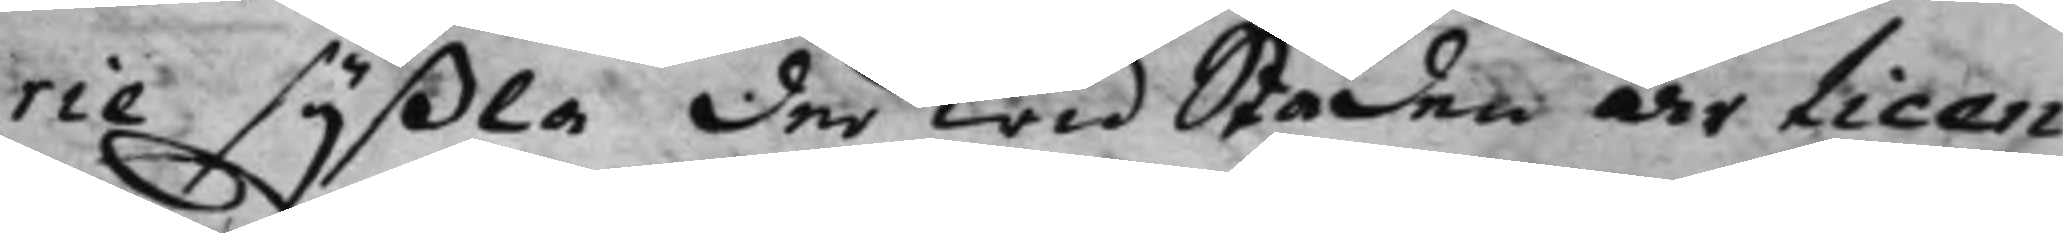rie syßla der wid Staden är licen¬
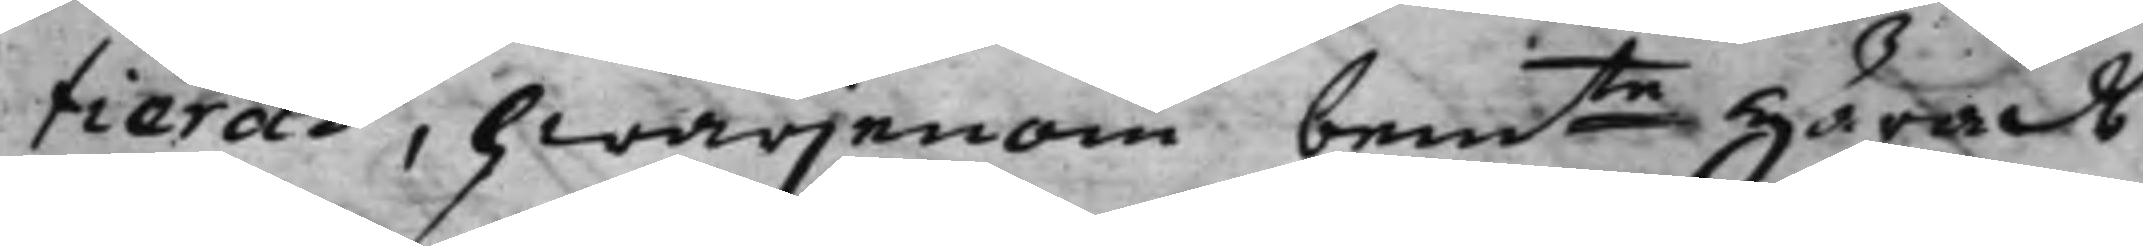tierad, hwarjenom bemte Härads¬ 
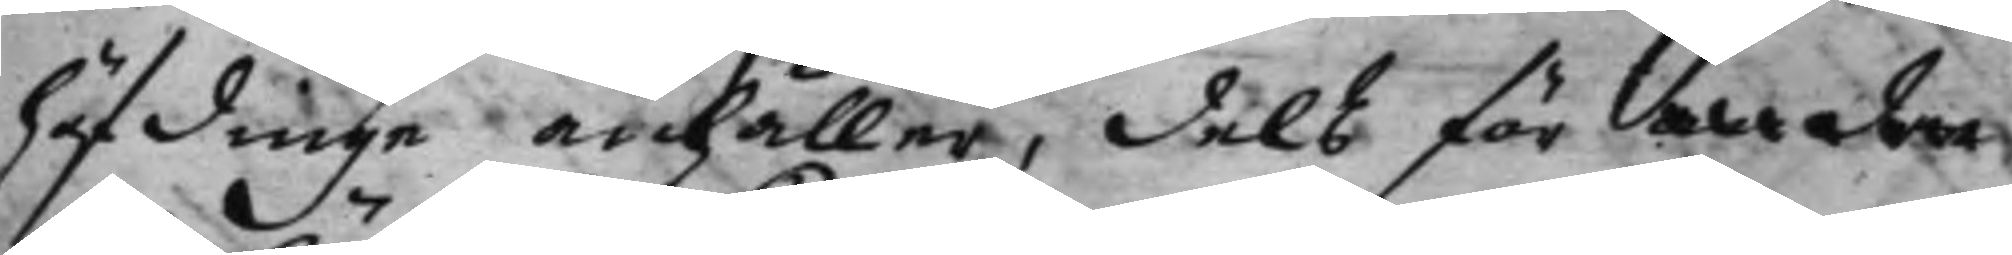höfdinge anhåller, dels för andre
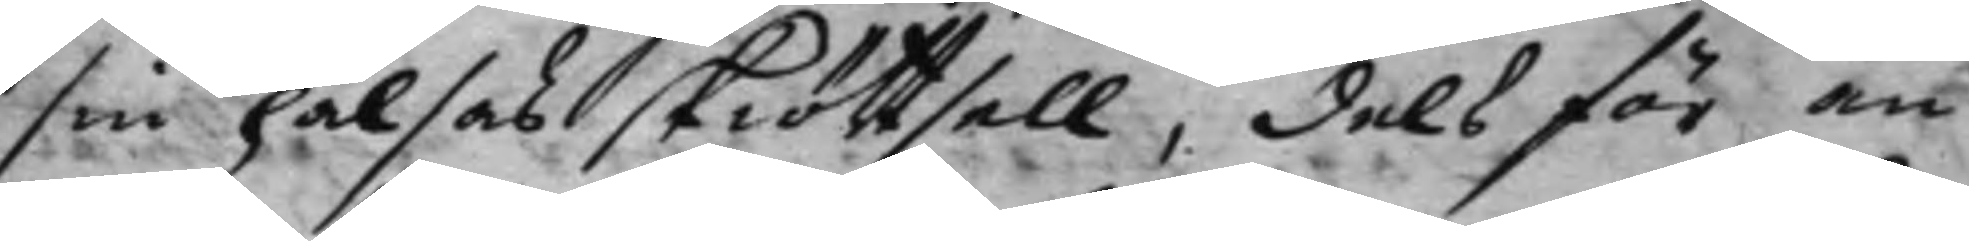sin hälsas skiöttsell, dels för an¬
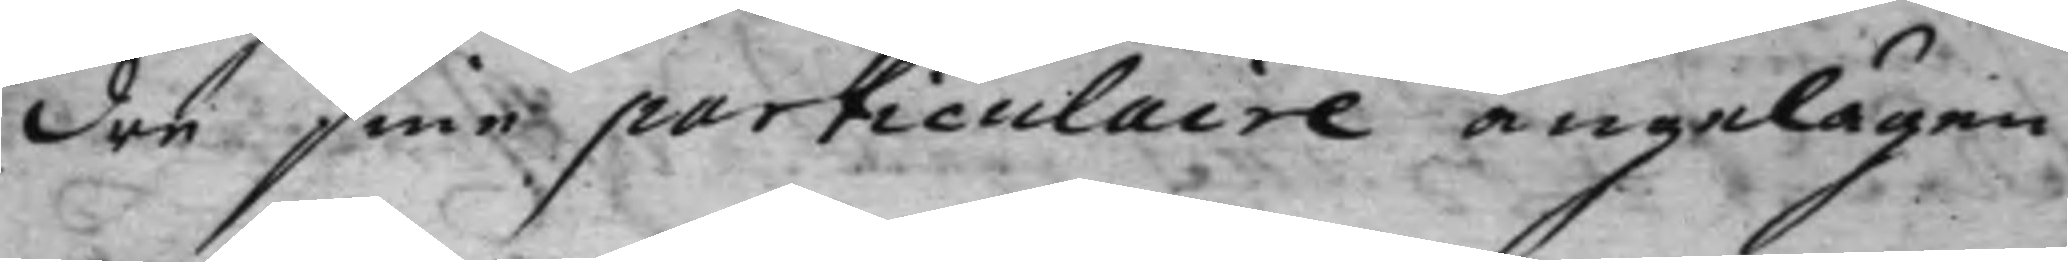dre sine particulaire angelägen¬
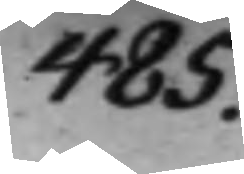485.
